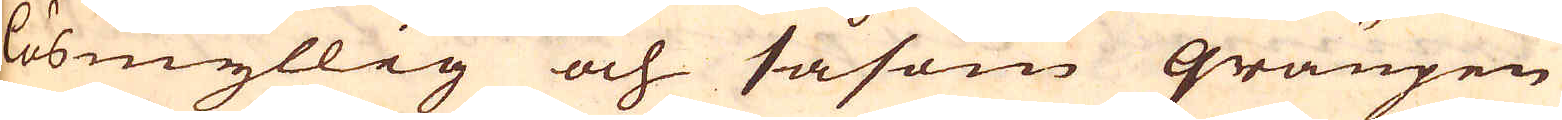lösmyllig och såsom graupen
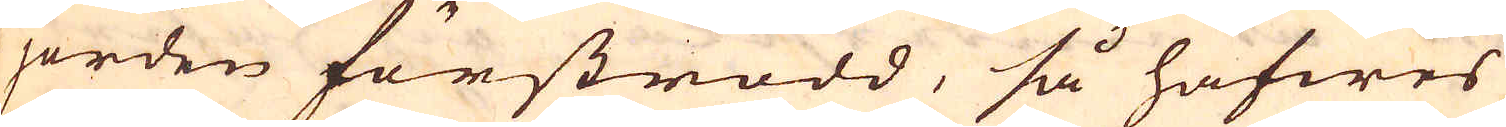i jorden förströdd, så hafwes
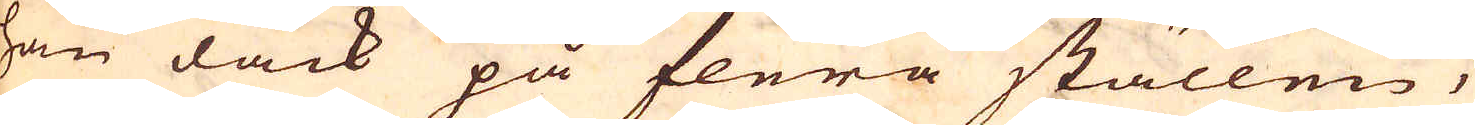han dåck på flera ställen,
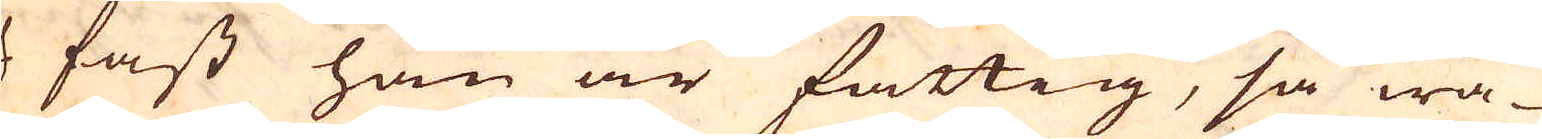och fast han är fattig, så wa-
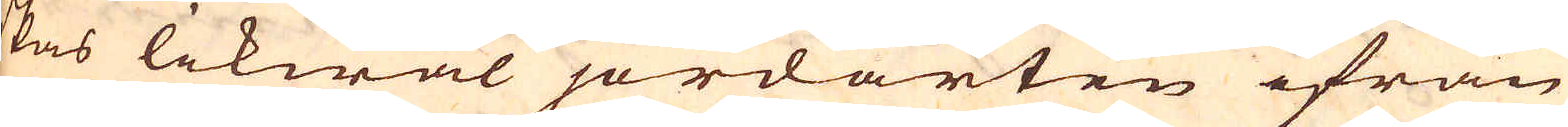skas likwäl jordarten ifrån
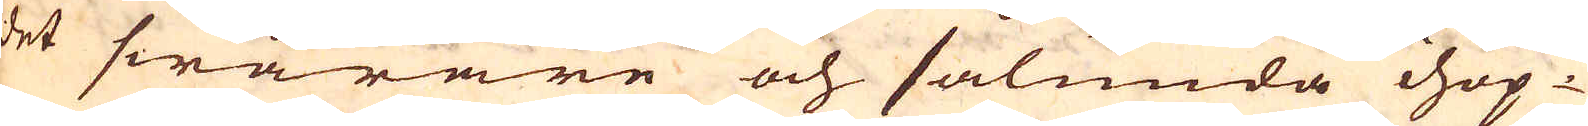det swårare och sålunda ihop-
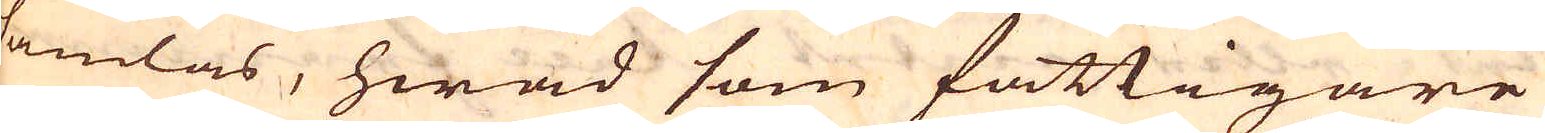samlas, hwad som fattigare
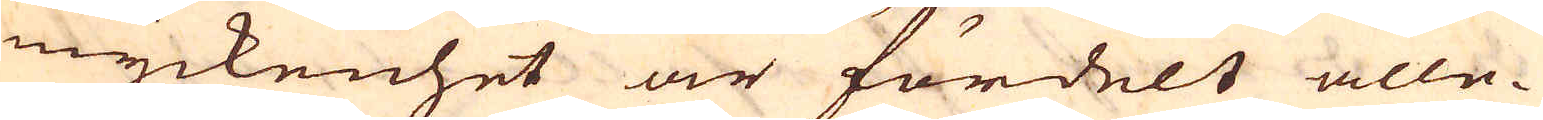i myckenhet är fördelt alle-
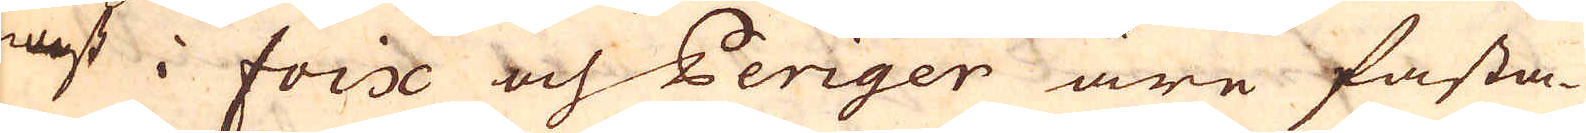nast i Foix och Periger äre fasta-
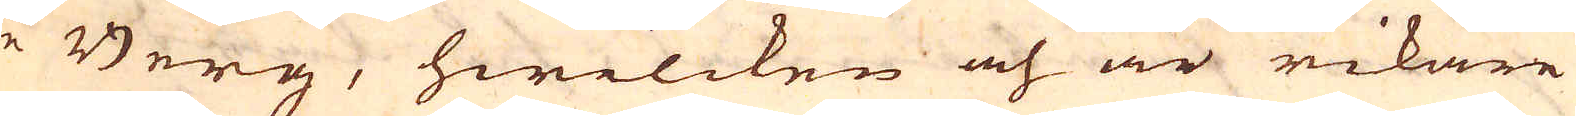re Berg, hwilcken och är rikare
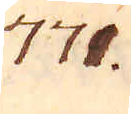771.
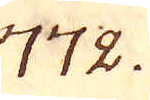772.
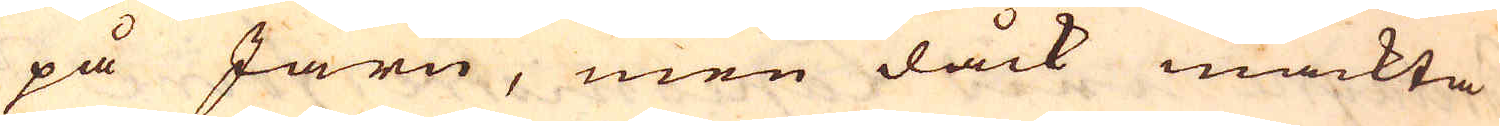på Järn, men dåck mäckta
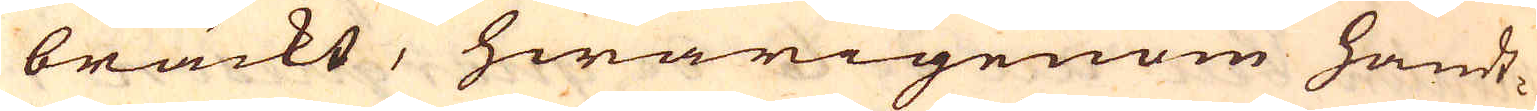bräckt, hwarigenom handt-
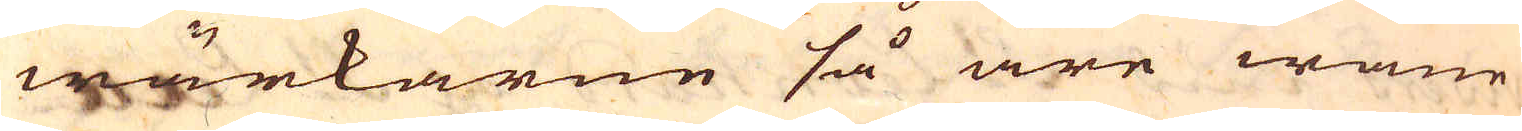wärkarne så äre wane
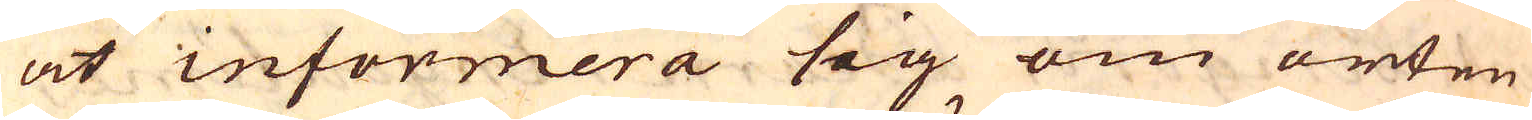at informera sig om orten
